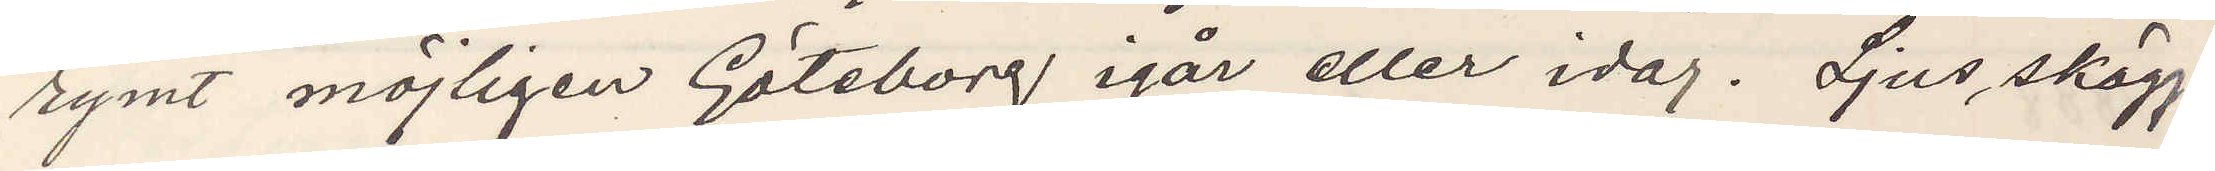rymt möjligen Göteborg igår eller idag. Ljus skägg¬
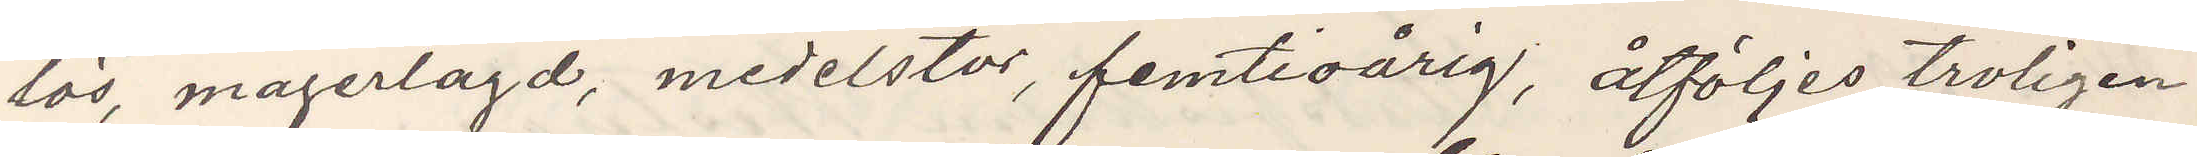lös, magerlagd, medelstor, femtioårig, åtföljes troligen
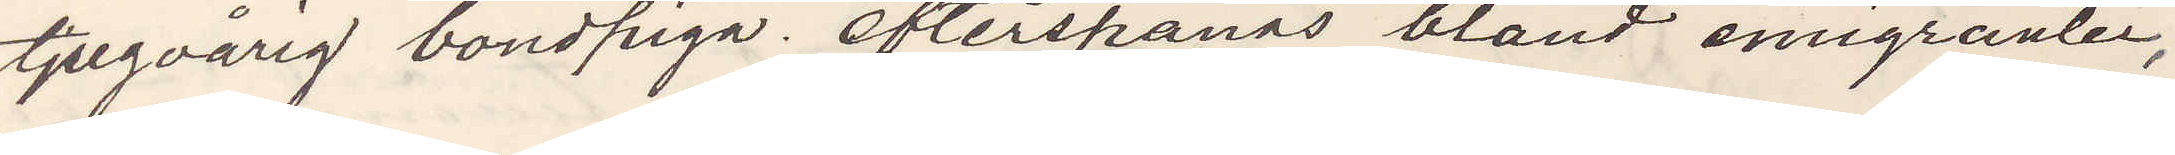tjugoårig bondpiga. Efterspanas bland emigranter,
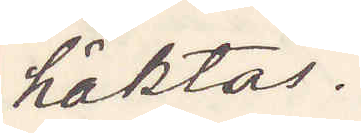häktas.
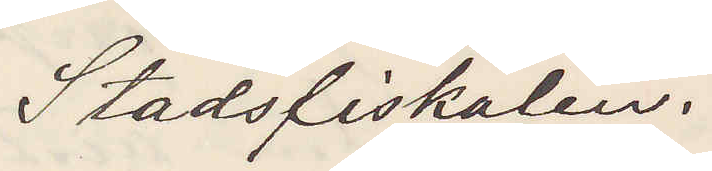Stadsfiskalen.
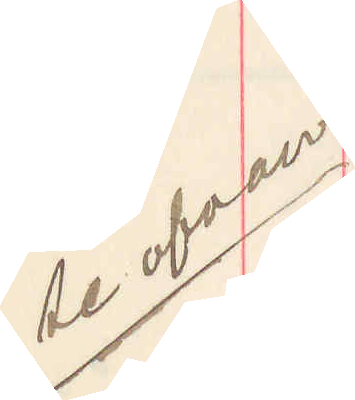Se ofvan
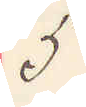5
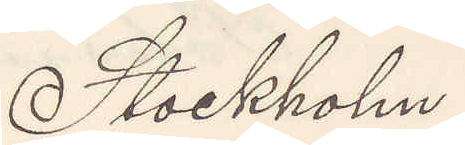Stockholm.
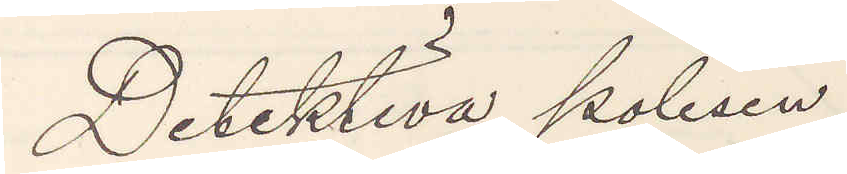Detektiva polisen
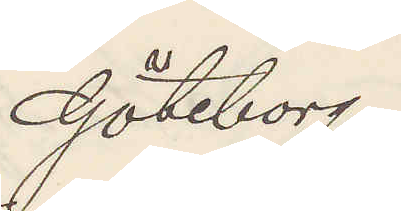Göteborg.
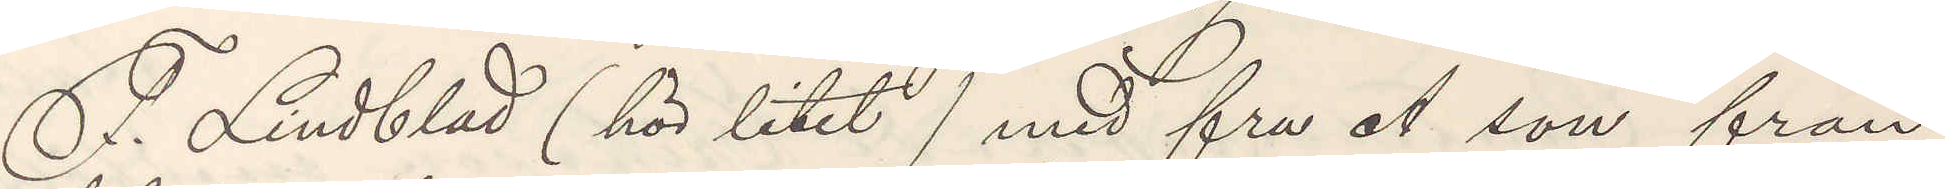F. Lindblad (hör litet ) med fru A son från
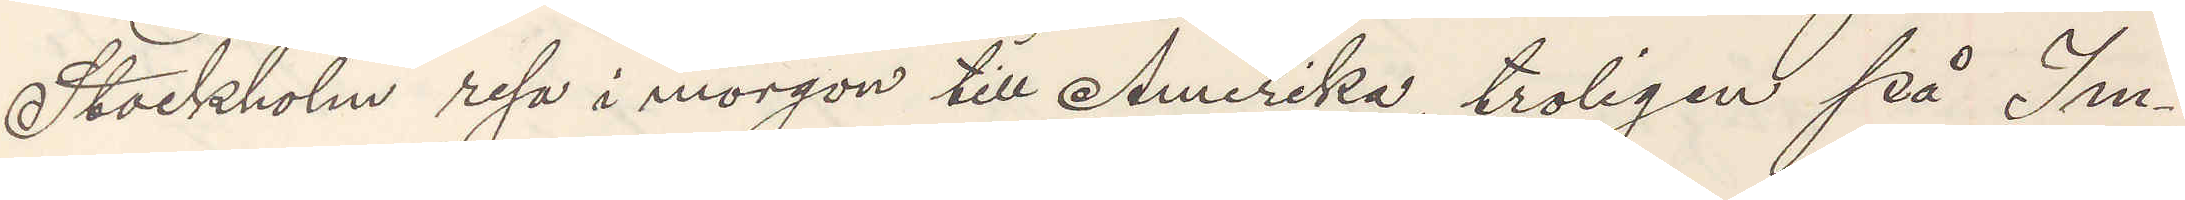Stockholm resa i morgon till Amerika, troligen på Im¬
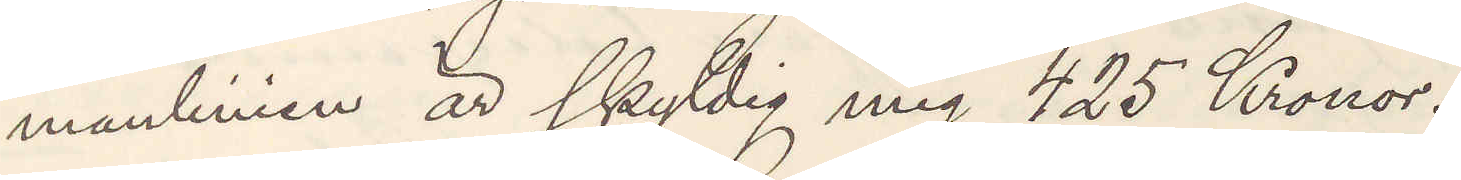manlinien är skyldig mig 425 Kronor.
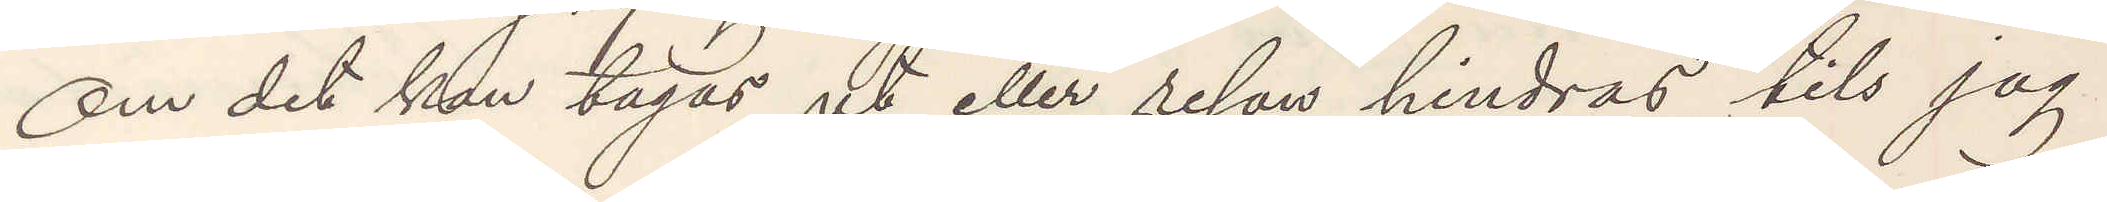Om det kan tagas ut eller resan hindras tils jag
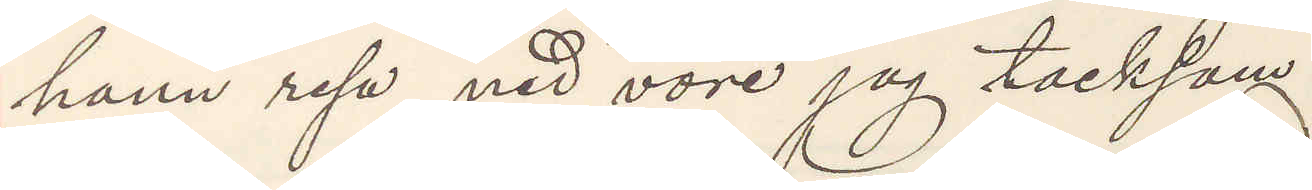hann resa ned vore jag tacksam.
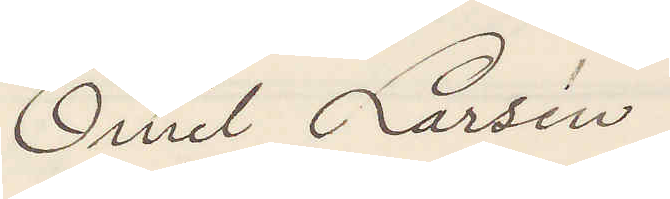Emil Larsén
